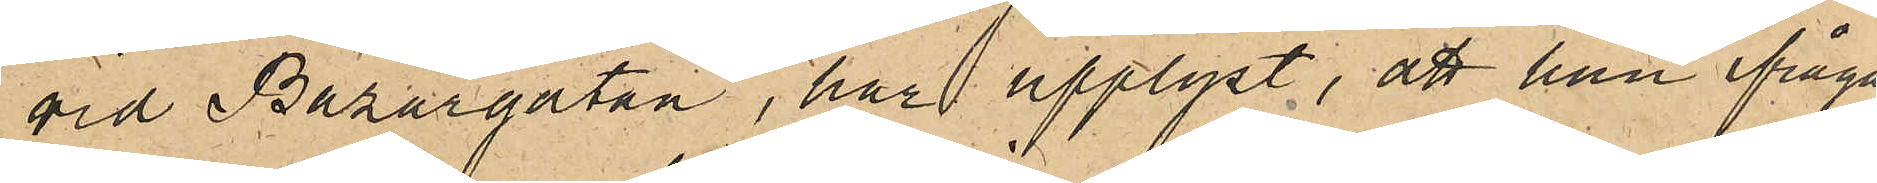vid Bazargatan, har upplyst, att han ifråga¬
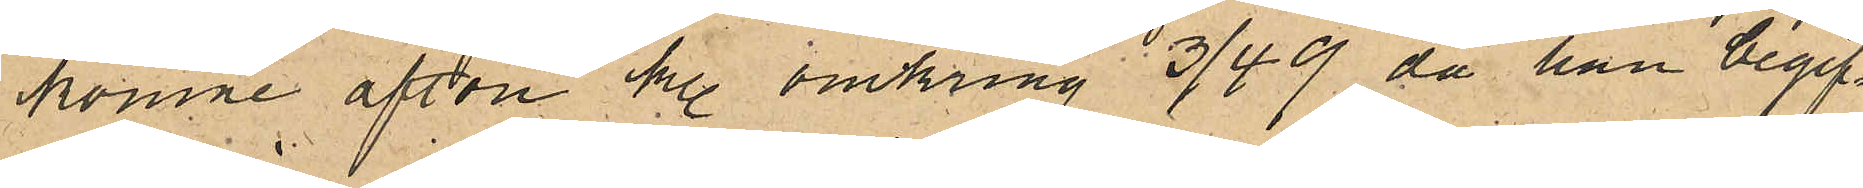komne afton kl. omkring 3/4 9 då han begif¬
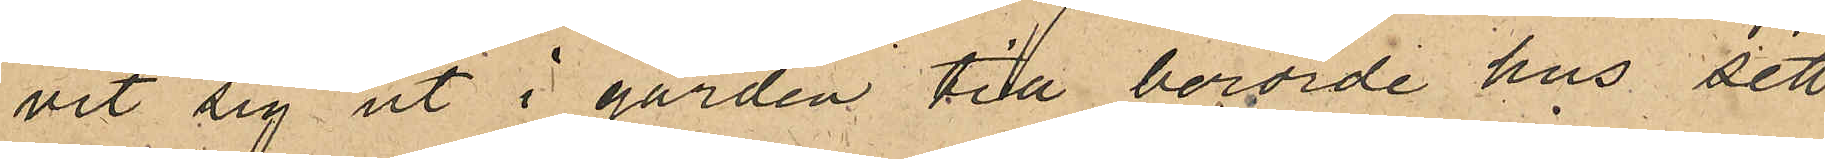vit sig ut i gården till berörde hus sett
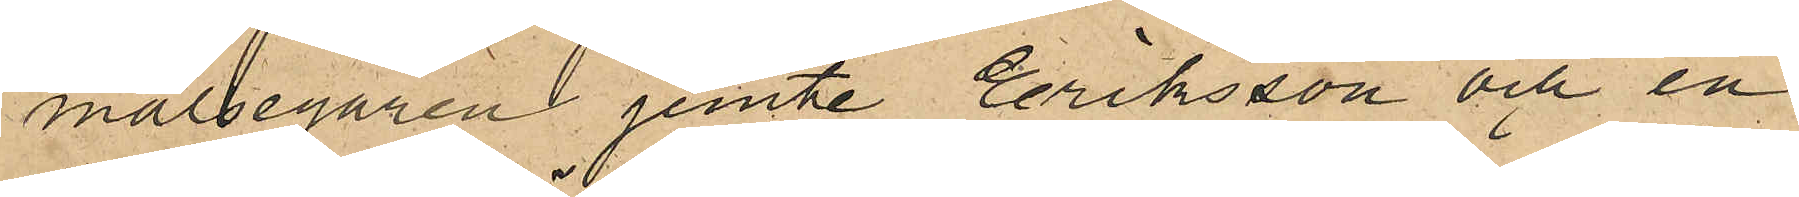målsegaren jemte Eriksson och en
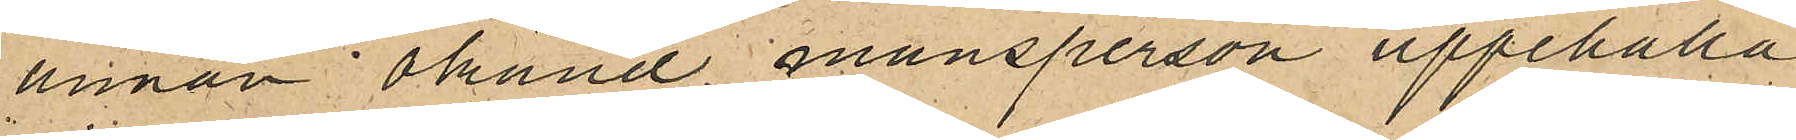annan okänd mansperson uppehålla
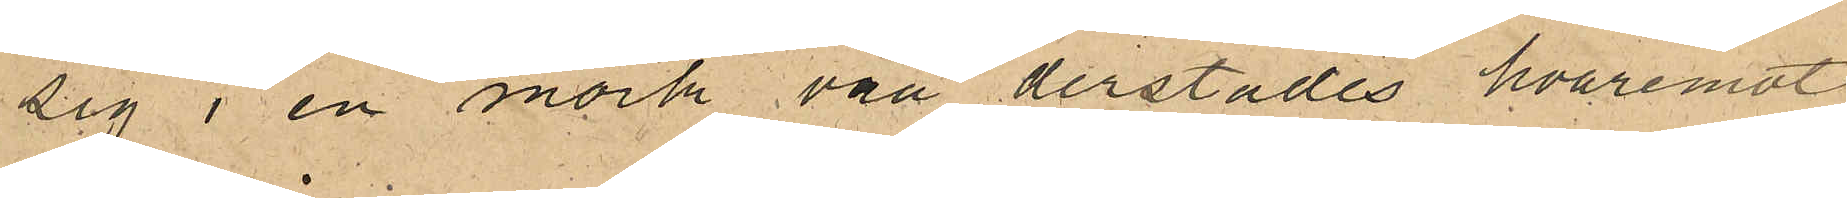sig i en mörk vrå derstädes hvaremot
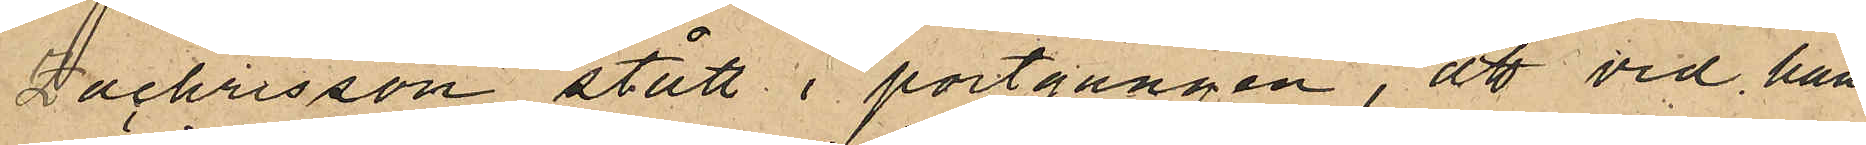Zachrisson stått i portgången, att vid hans
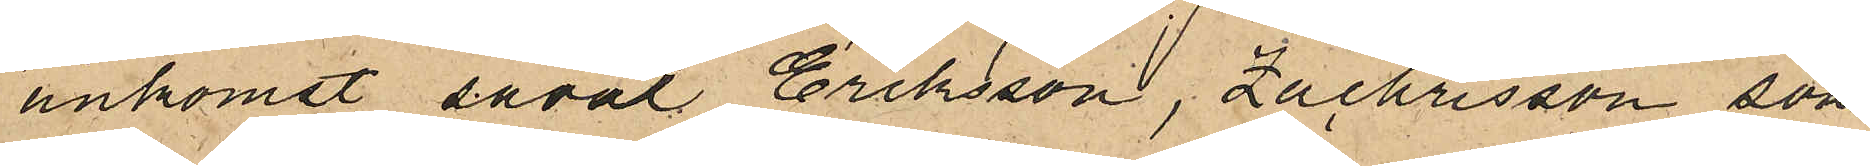ankomst såväl Eriksson, Zachrisson som
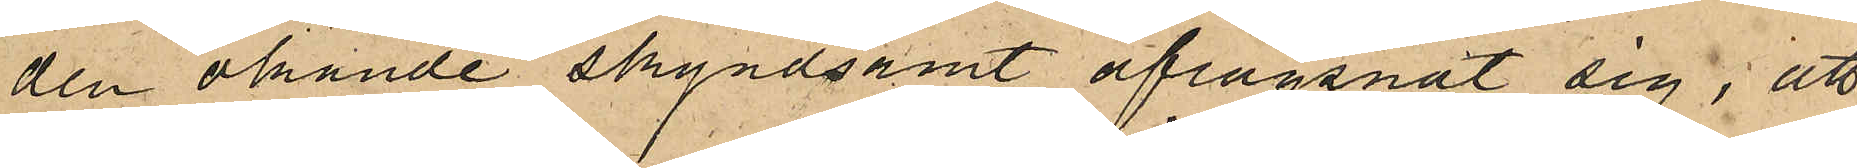den okände skyndsamt aflägsnat sig, att
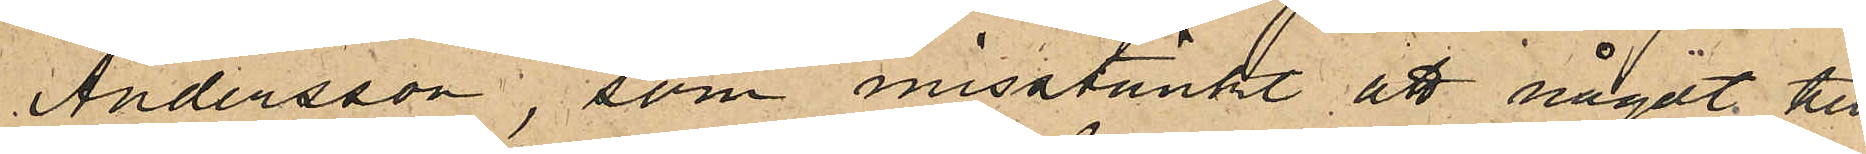Andersson, som misstänkte att något till¬
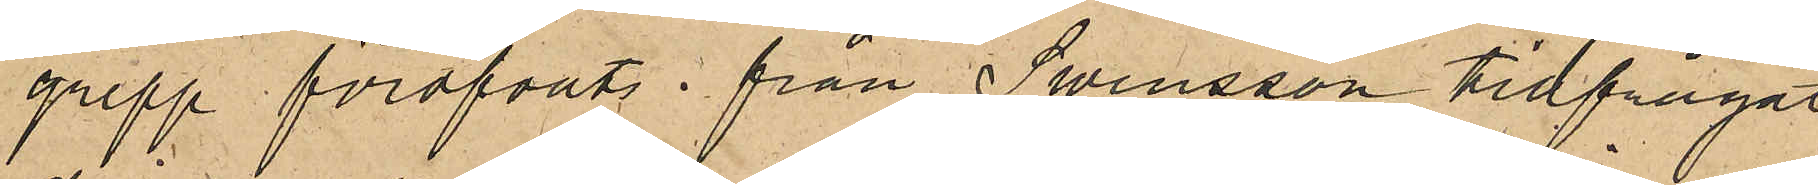grepp föröfvats från Swensson tillfrågat
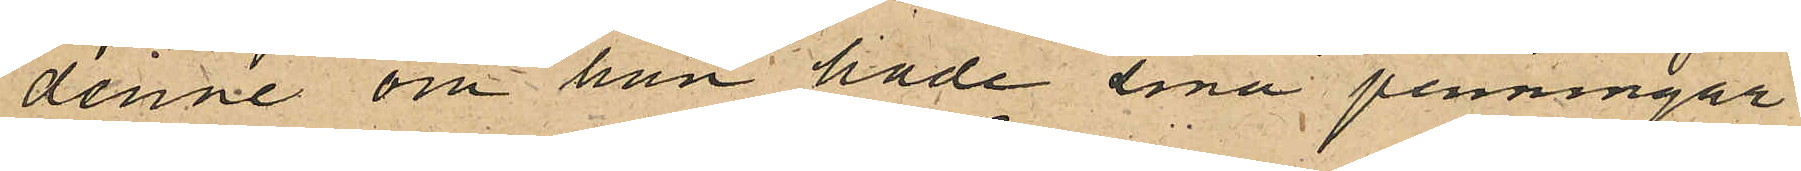denne om han hade sina penningar i
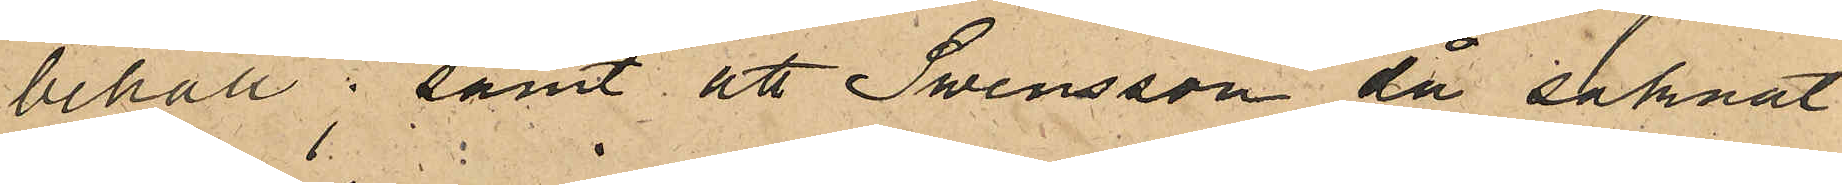behåll, samt att Swensson då saknat
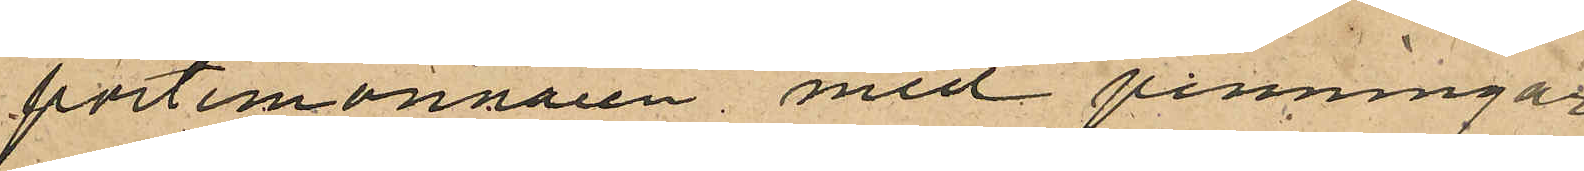portmonnaien med penningar.
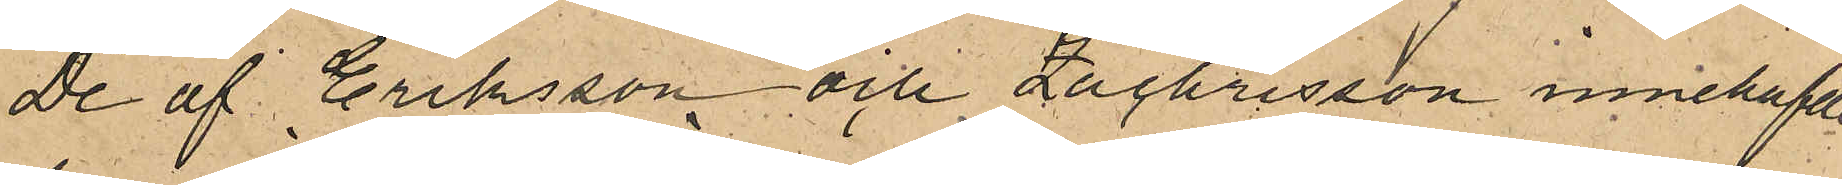De af Eriksson och Zachrisson innehafde
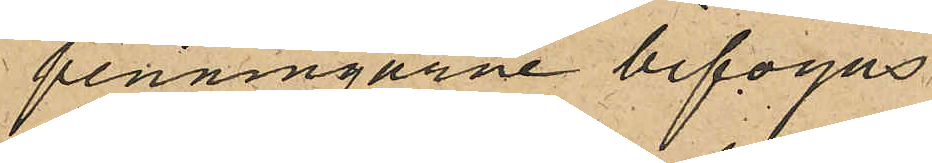penningarne bifogas.
